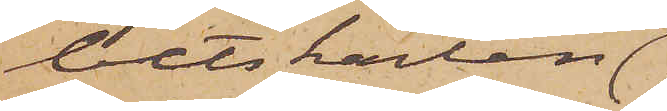betskarlen
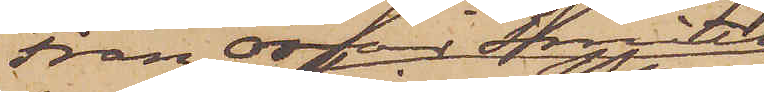Fran Oscar Smitth
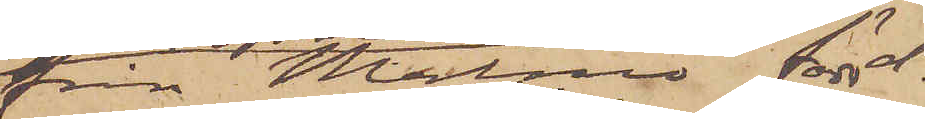från Malmö född d.
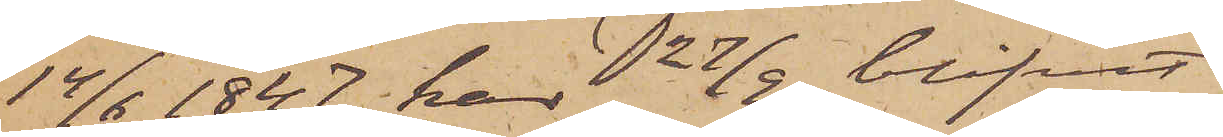14/6 1847 har 27/9 blifvit
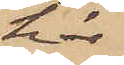här
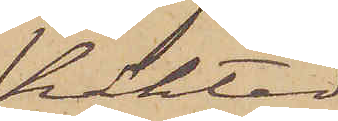häktad
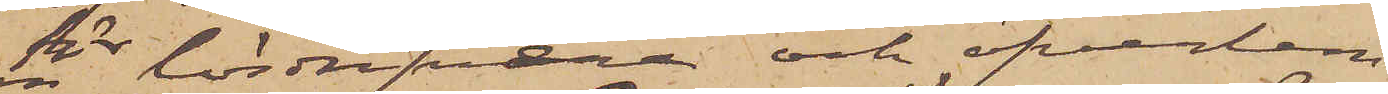för lösdrifveri och öfverlem¬
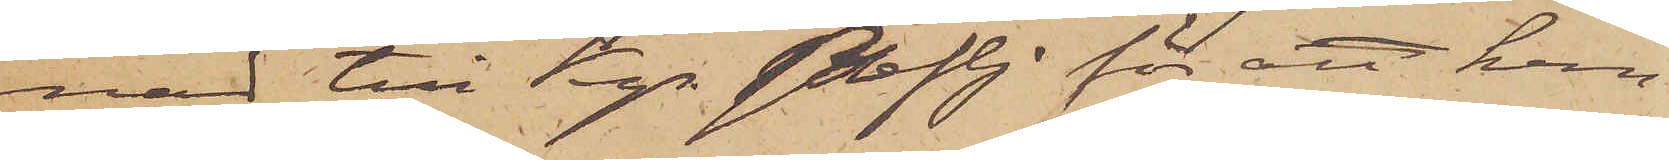nad till Kgs. Befh. för att hem¬
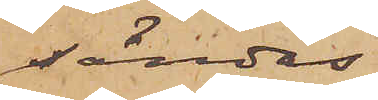sändas.
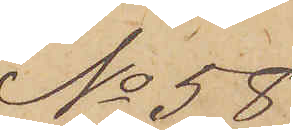No 58
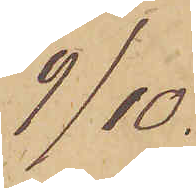9/10.
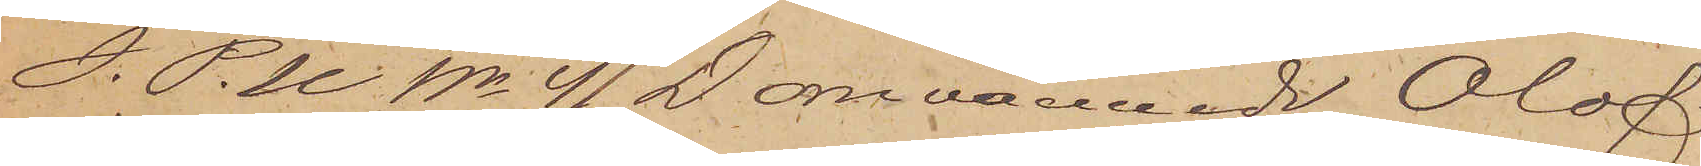I. P. U No 41 D omnämnde Olof
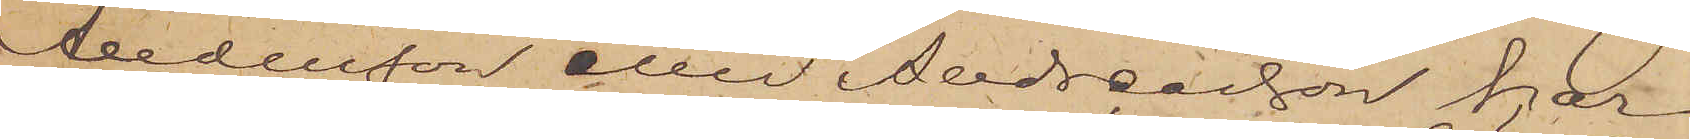Andersson eller Andreasson har
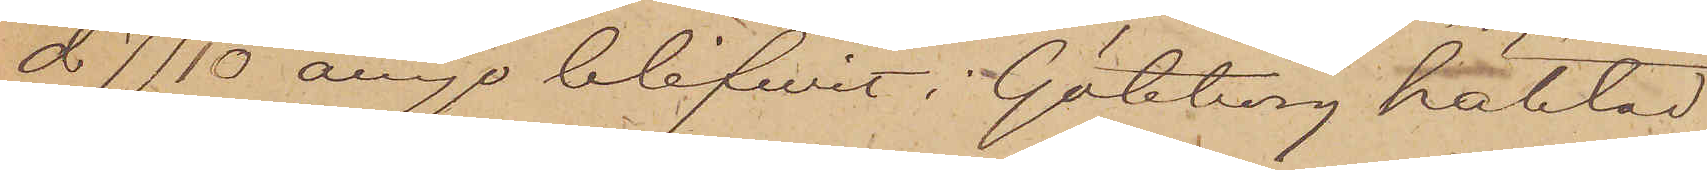d. 7/10 ånyo blifwit i Göteborg häktad
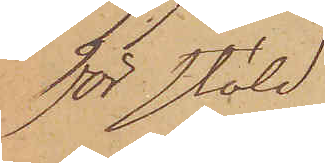för stöld.
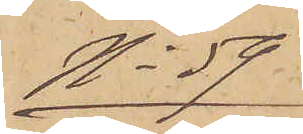No 59
